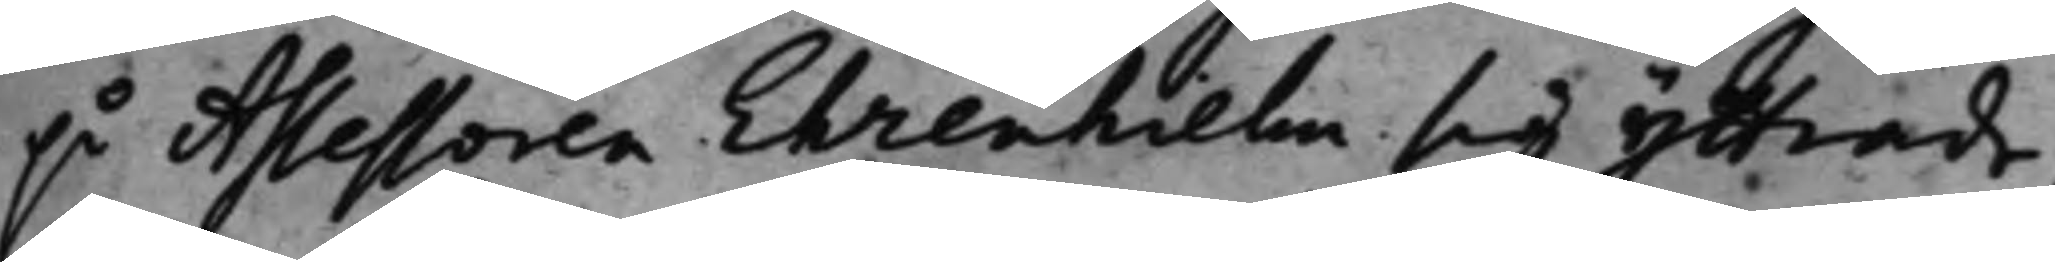på Assessoren Ehrenhielm sig yttrade,
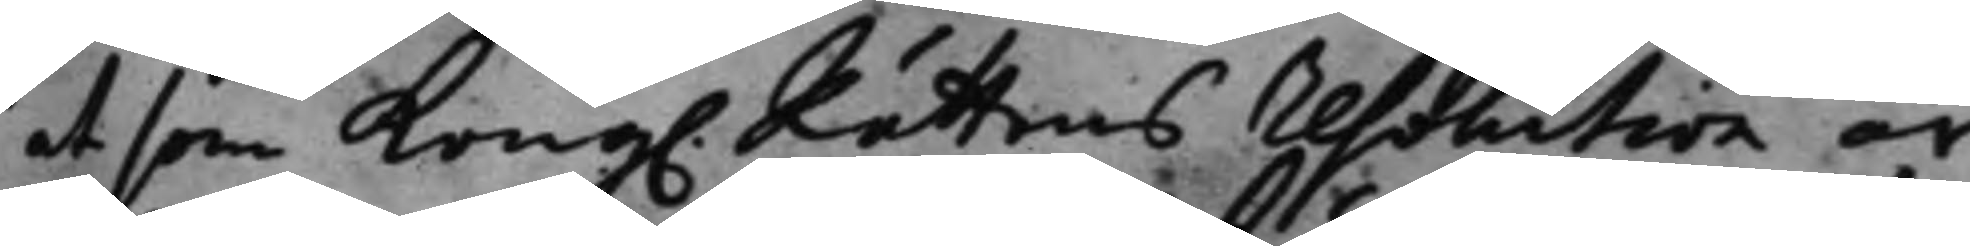at som Kong. Rättens resolution är
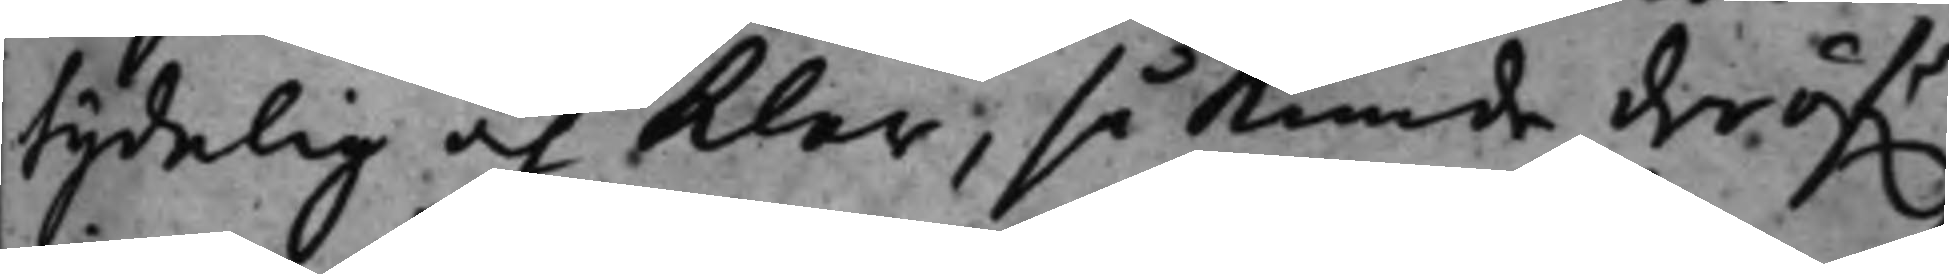tydelig och klar; så kunde deröf.r
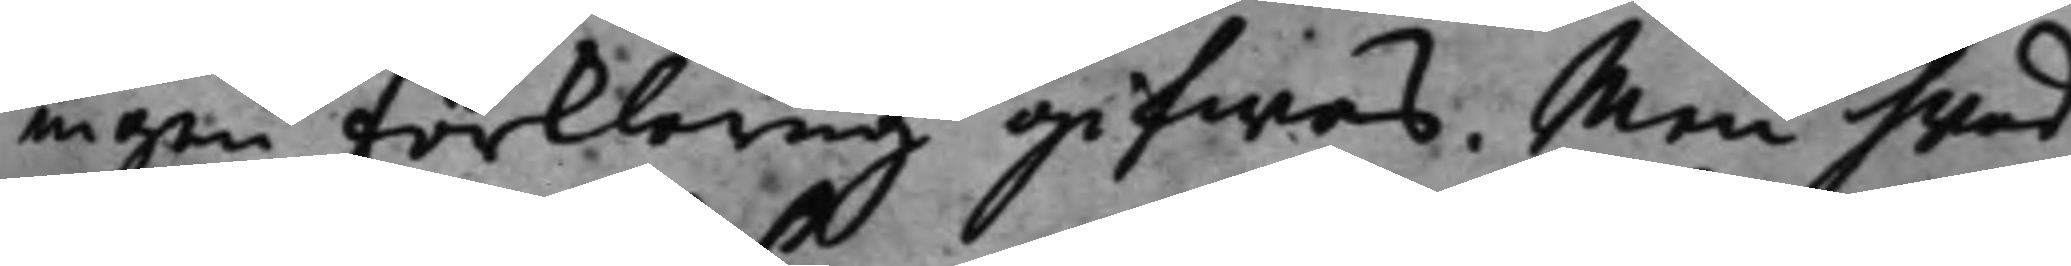ingen förklaring gifwas. Men hwad
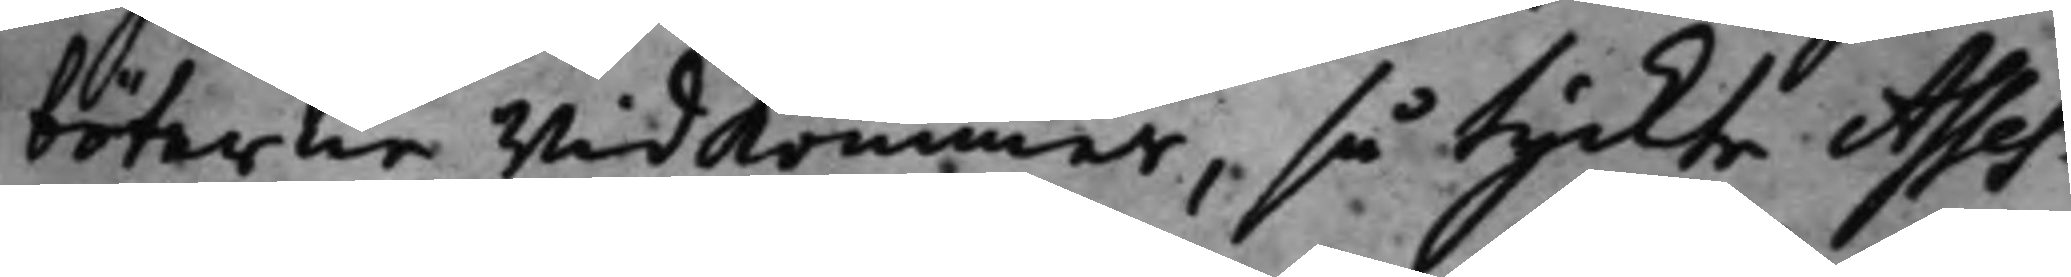böterne widkommer, så tyckte Asses¬
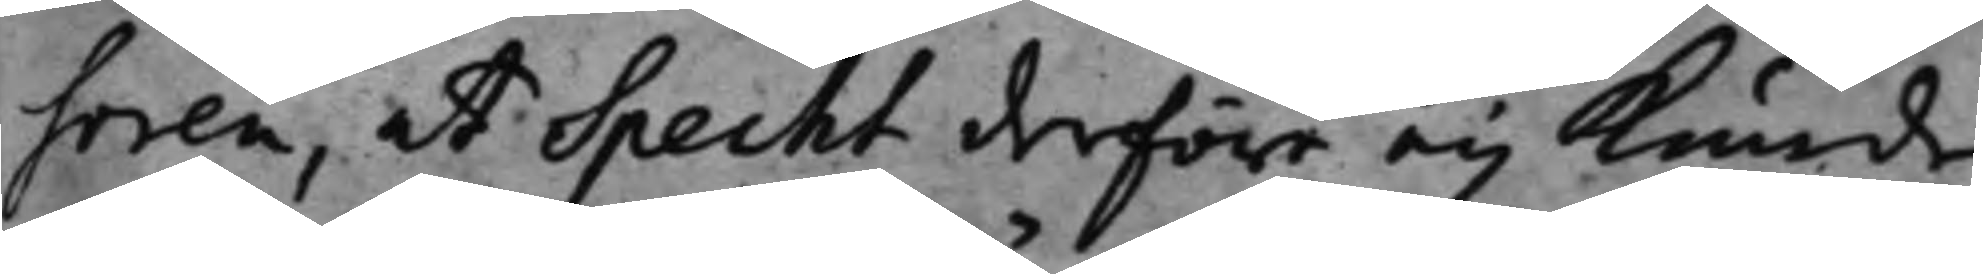soren, at Specht derföre eij kunde
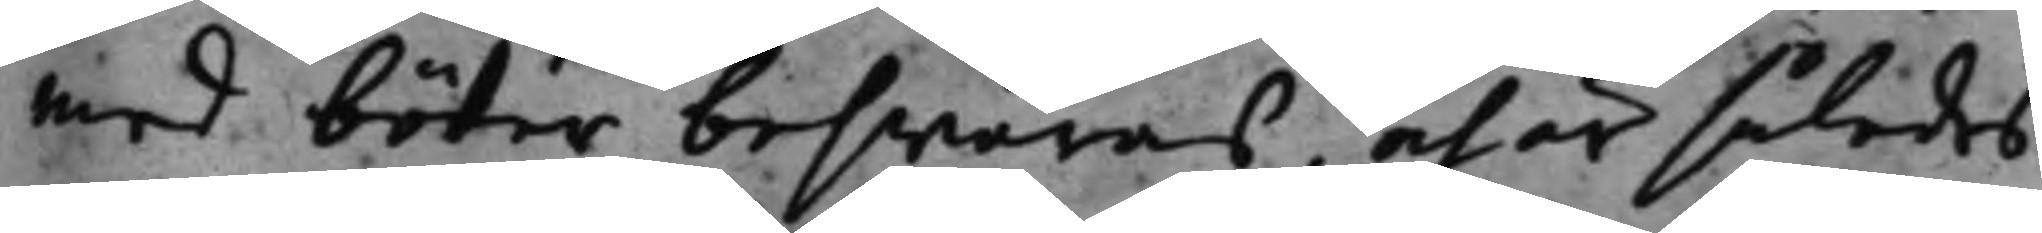med böter beswäras, och är således
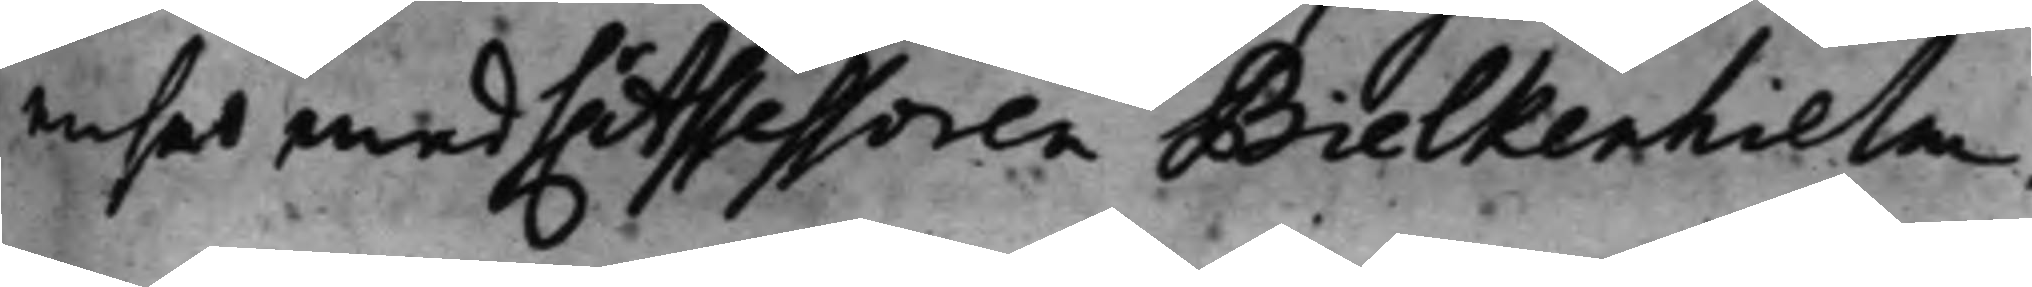enser med h.r Assessoren Bielkenhielm,
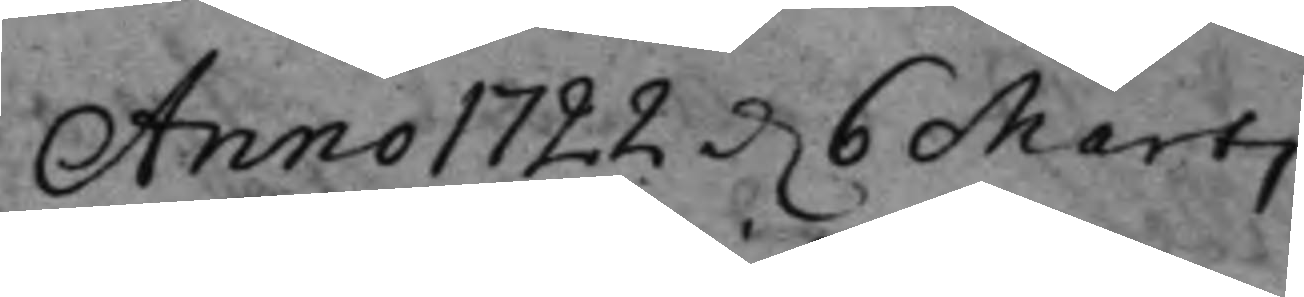Anno 1722 d. 6 Marti
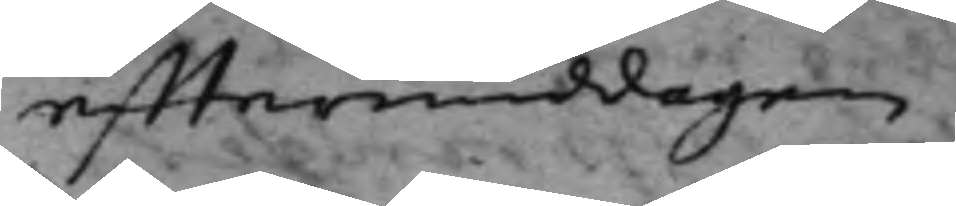efftermiddagen.
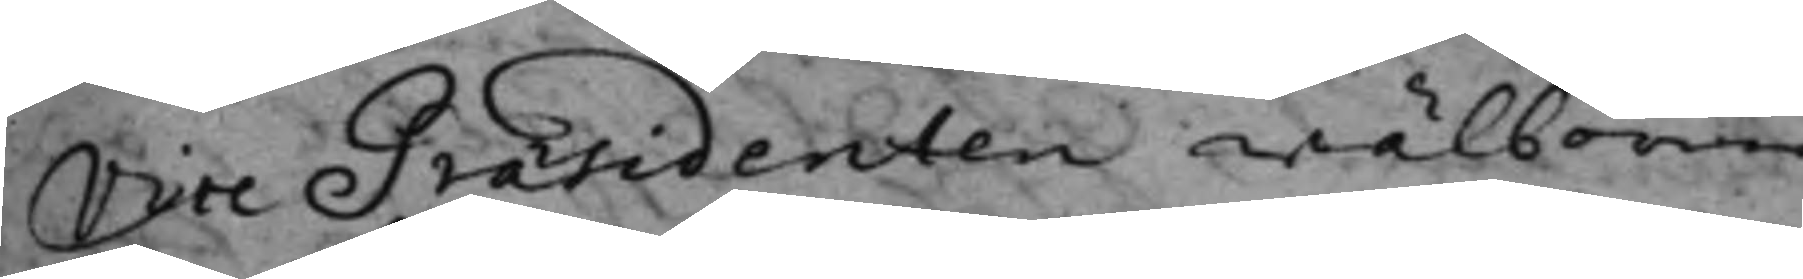Vice Präsidenten wälborne
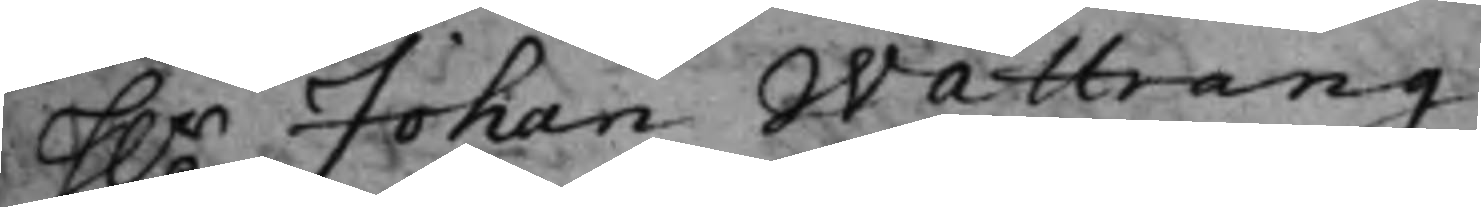H.r Johan Wattrang
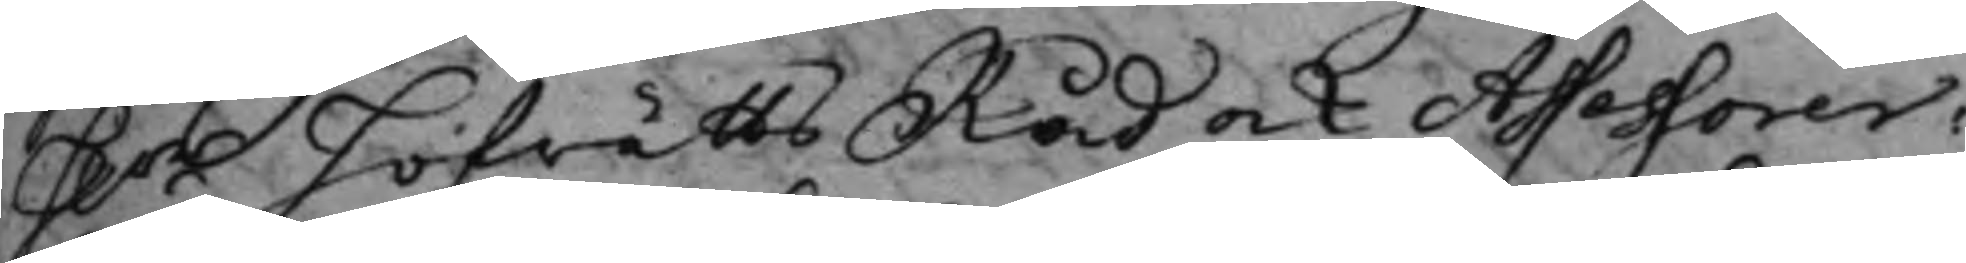H.rr Hofrätts Råd och Assessorer:
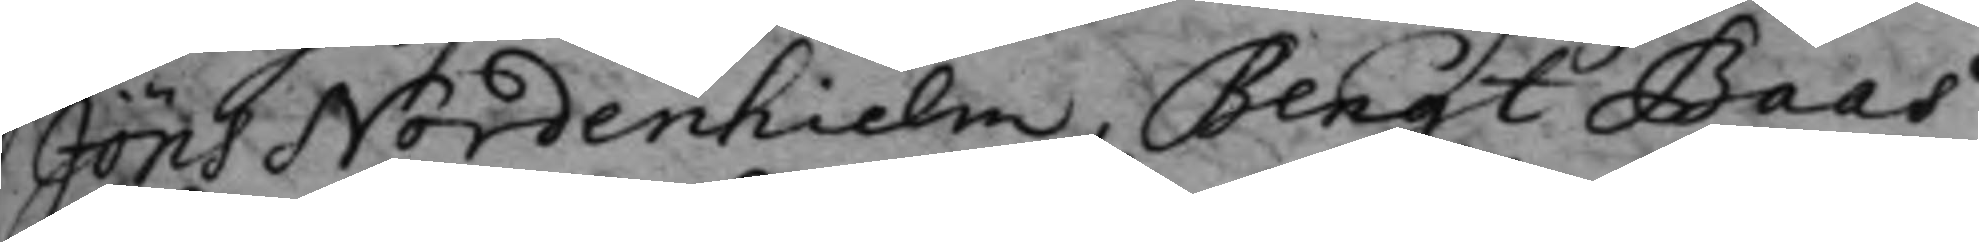Jöns Nordenhielm, Bengt Baas
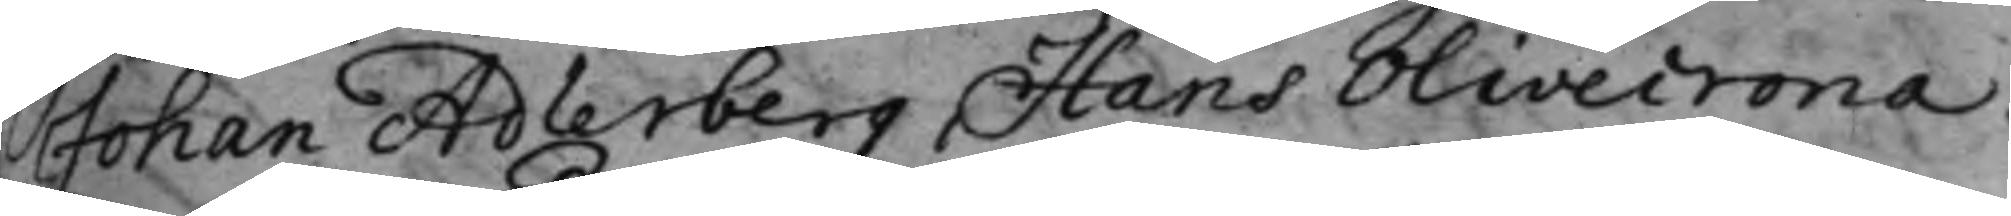Johan Adlerberg, Hans Olivecrona.
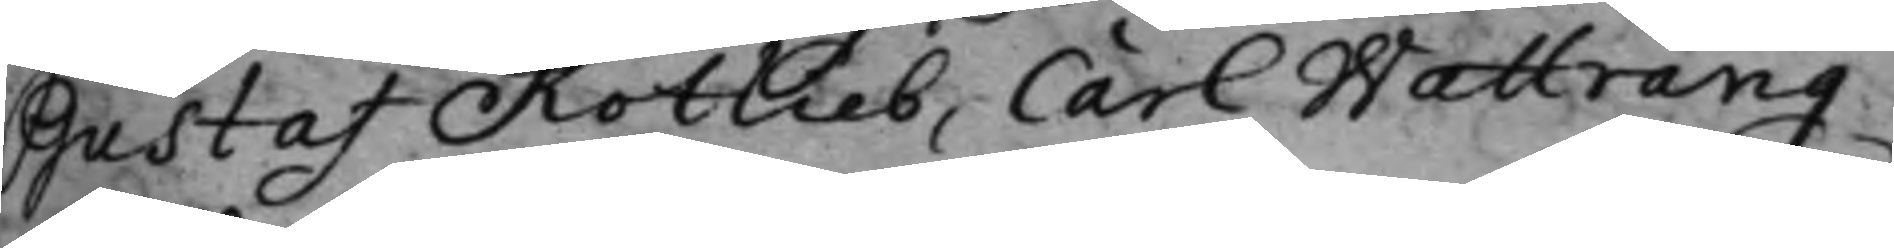Gustaf Rotlieb, Carl Wattrang.
